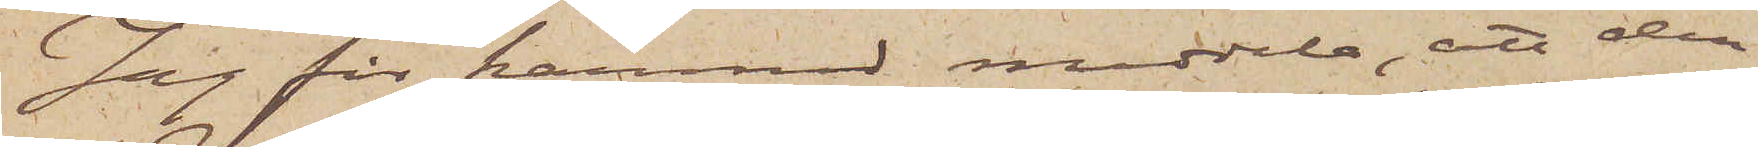Jag får härmed meddela, att den
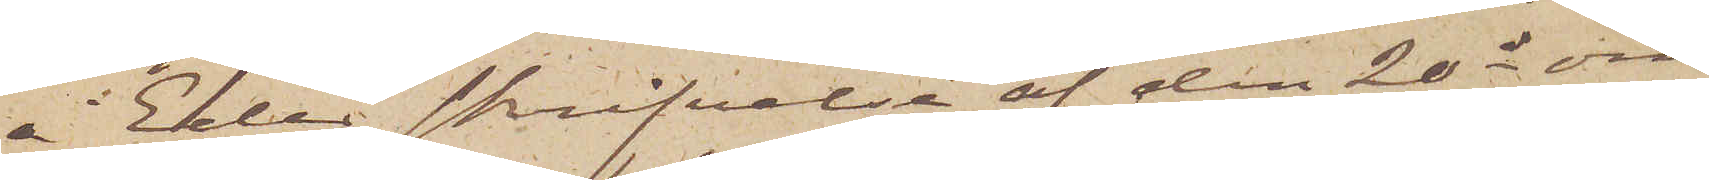i Eder skrifvelse af den 20 ds om¬
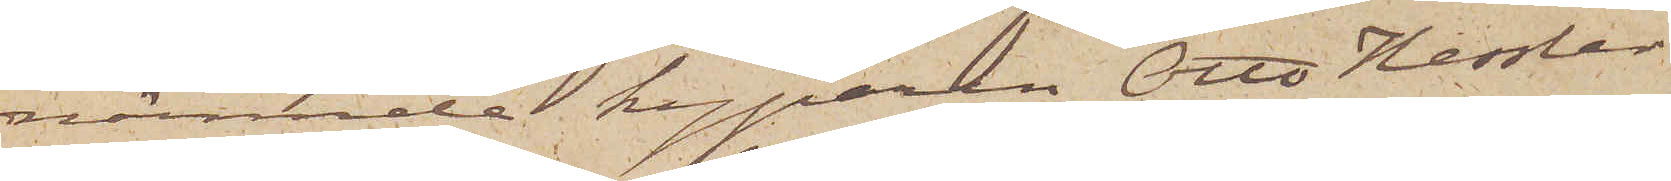nämnde kyparen Otto Hessler
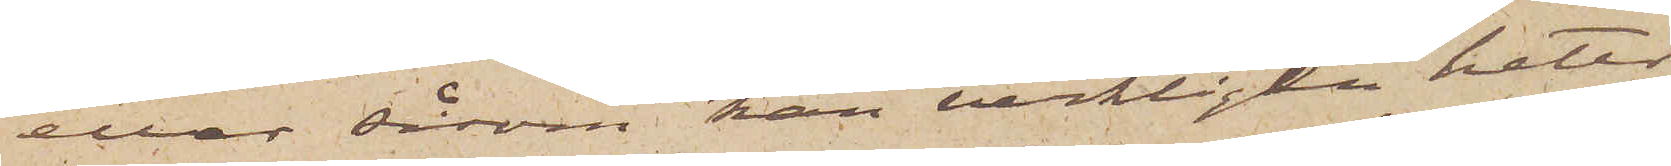eller såsom han verkligen heter
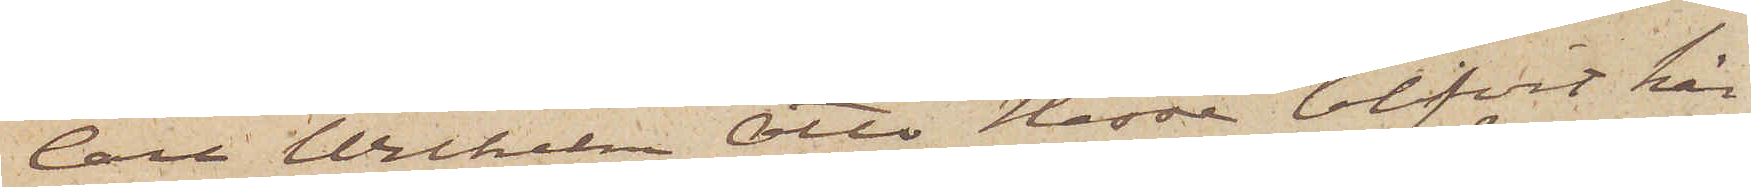Carl Wilhelm Otto Hesse blifvit här¬
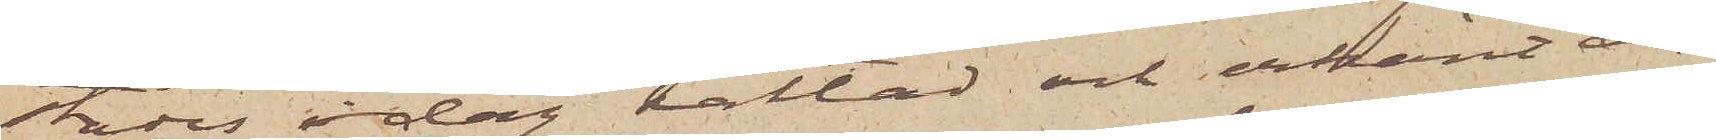städes idag häktad och erkänt an¬
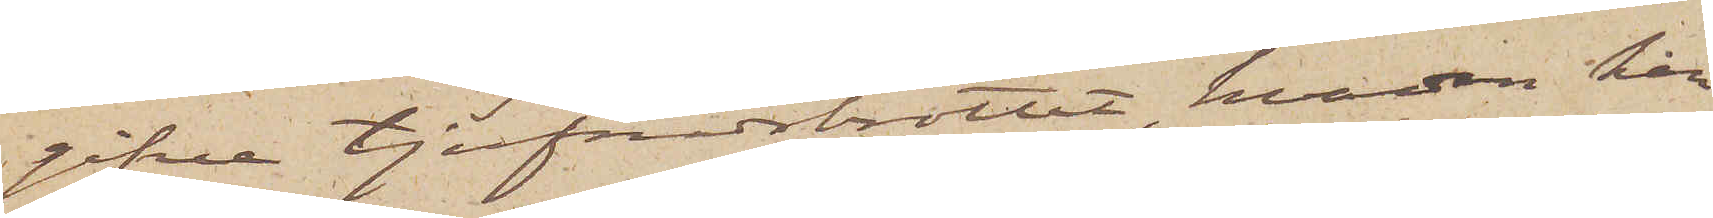gifne tjufnadsbrottet, hvardan han
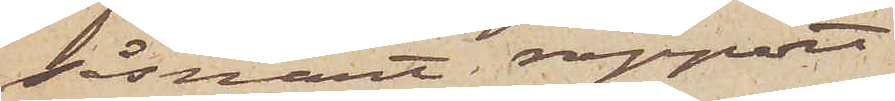såsnart rapport
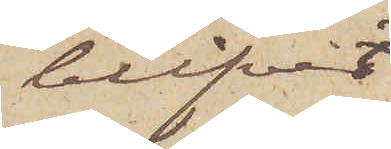blifvit
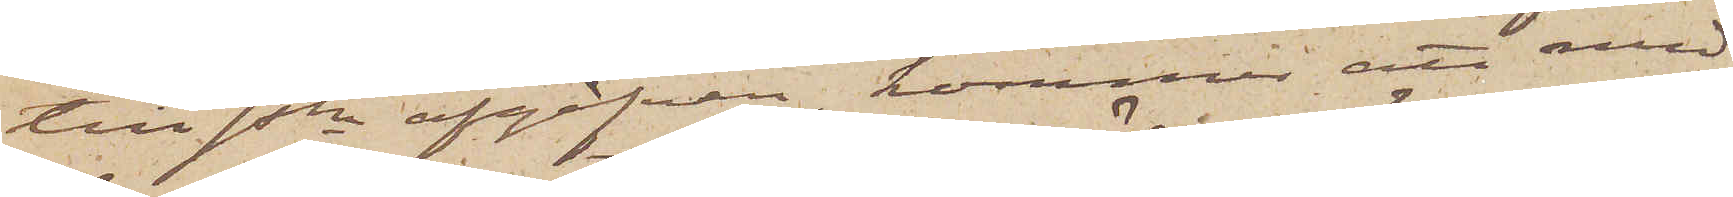till Pkn afgifven, kommer att med
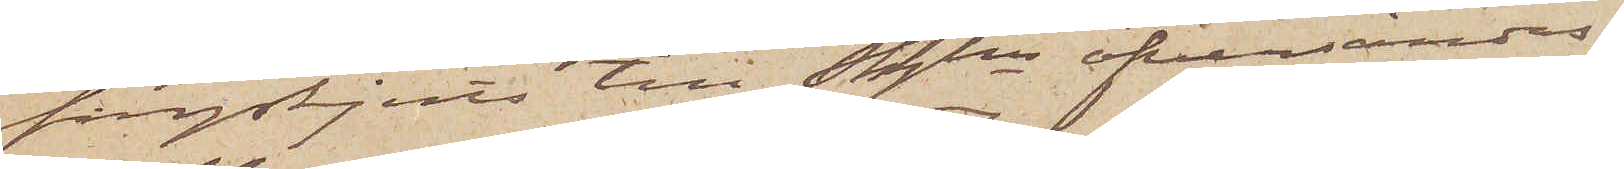fångskjuts till Sthlm öfversändas.
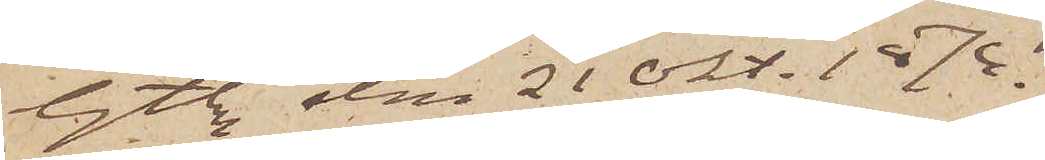Gtbrg den 21 Okt. 1874.
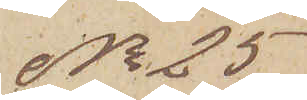No 25
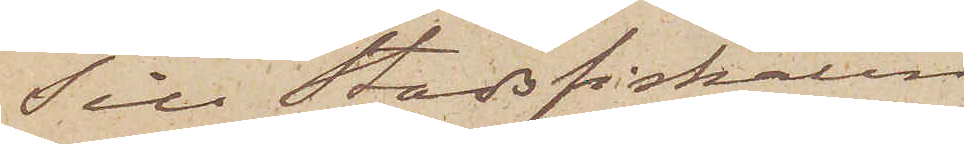Till Stadsfiskalen i
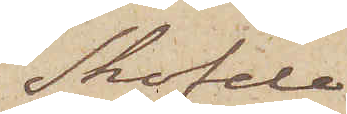Sköfde
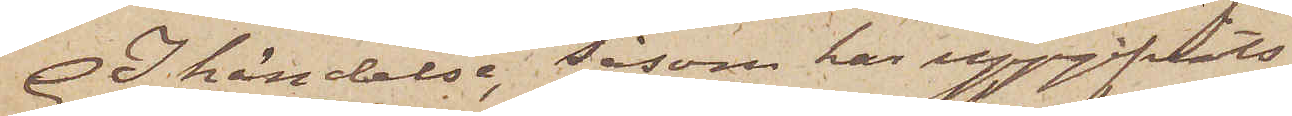I händelse, såsom här uppgifvits,
